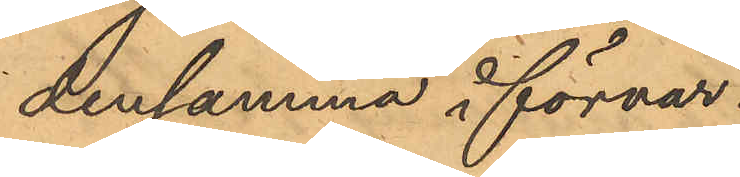densamma i förvar.
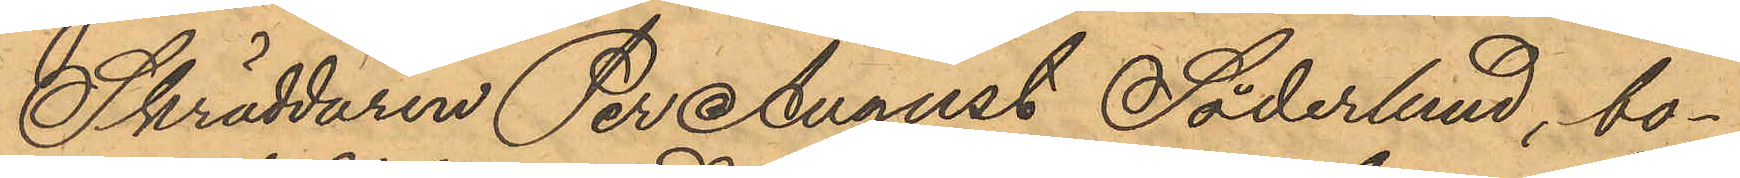Skräddaren Per August Söderlund, bo¬
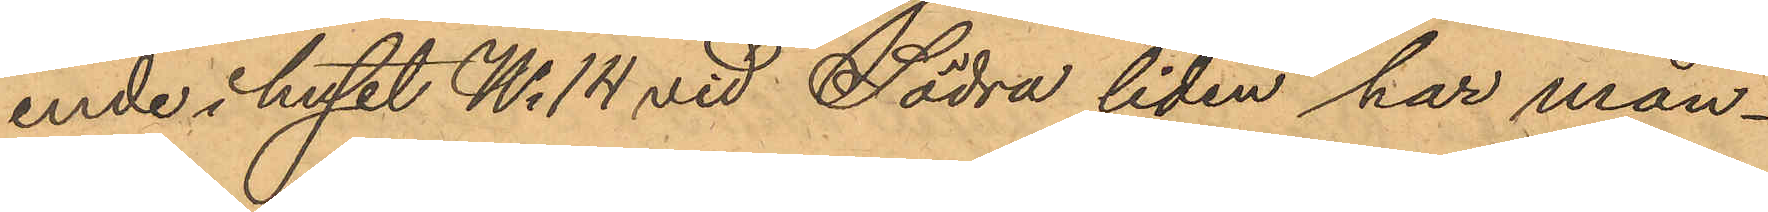ende i huset No 14 vid Södra liden har mån¬
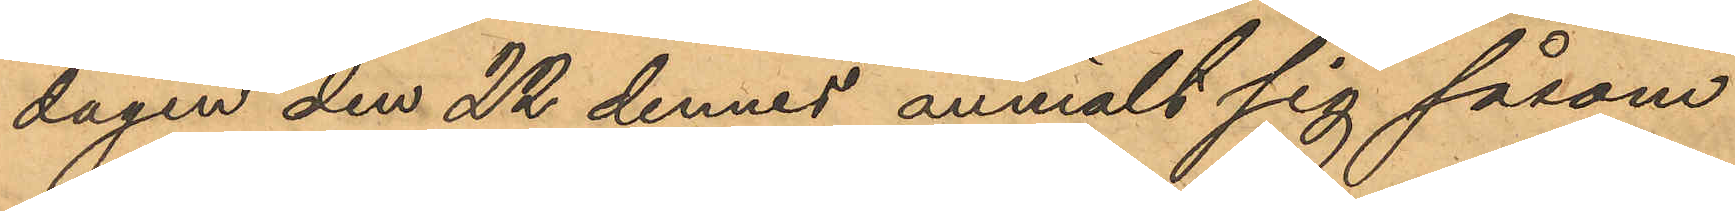dagen den 22 dennes anmält sig såsom
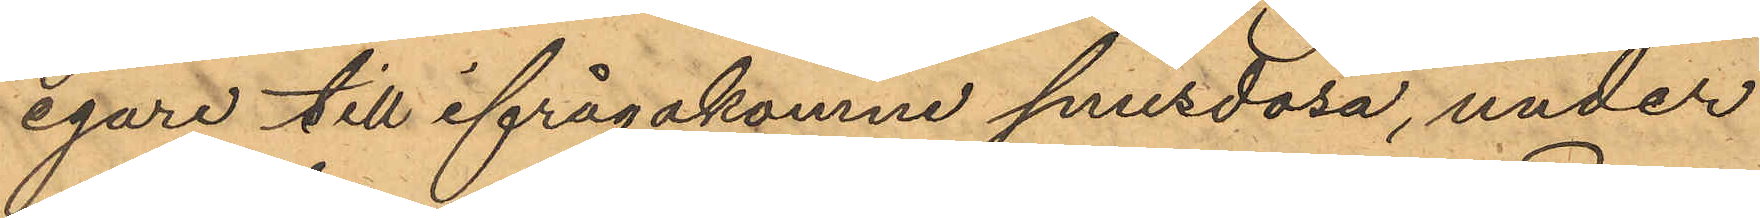egare till ifrågakomne snusdosa, under
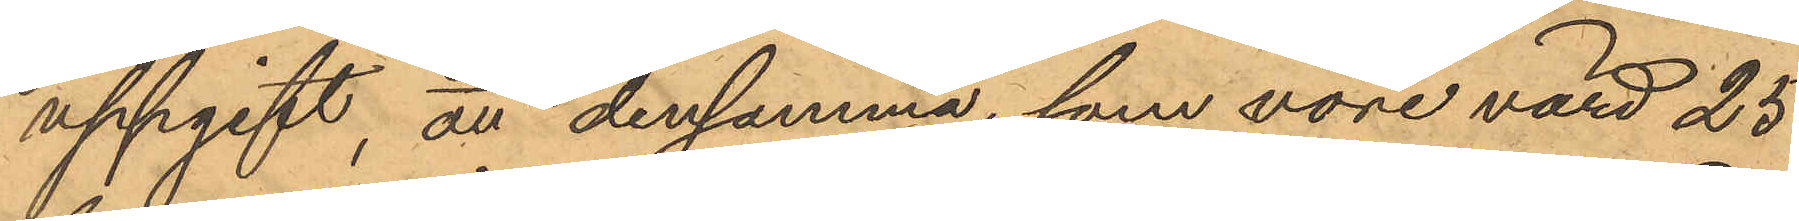uppgift, att densamma, som vore värd 25
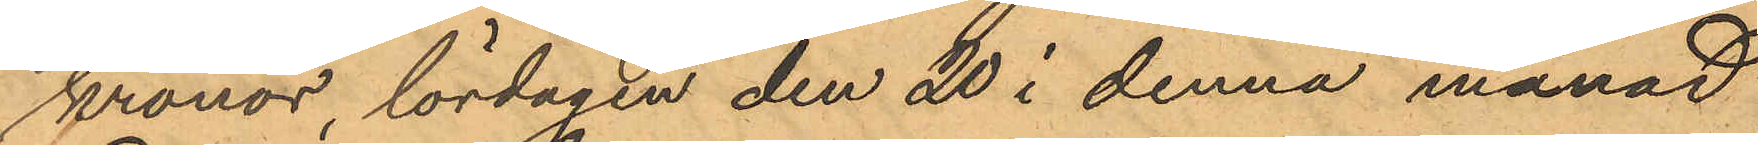kronor, lördagen den 20 i denna månad
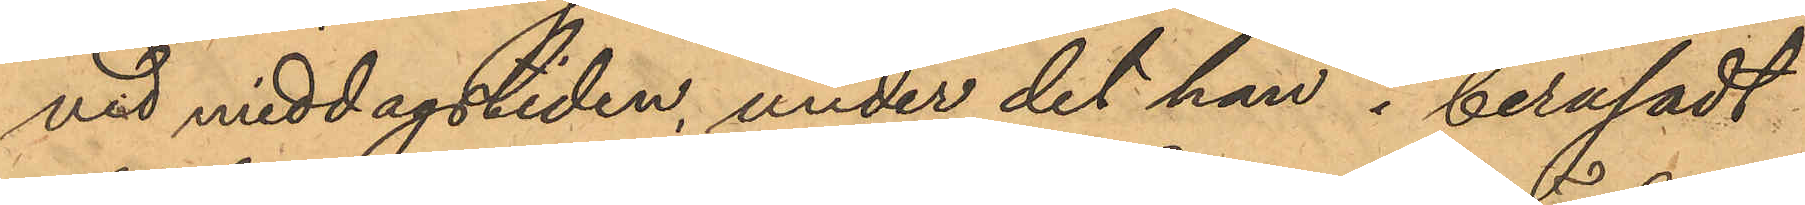vid middagstiden, under det han i berusadt
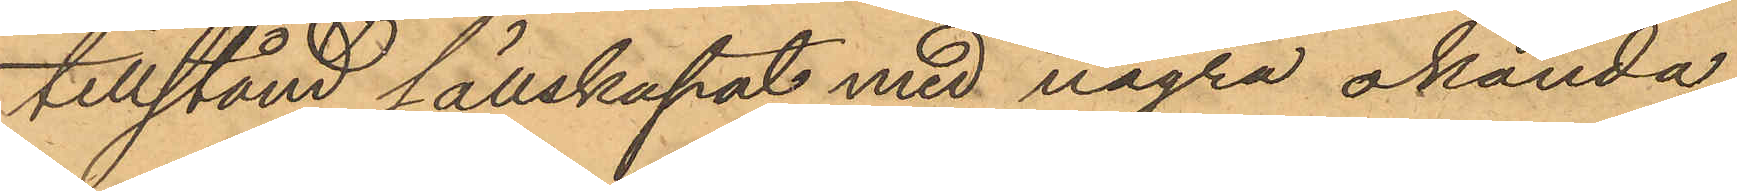tillstånd sällskapat med några okända
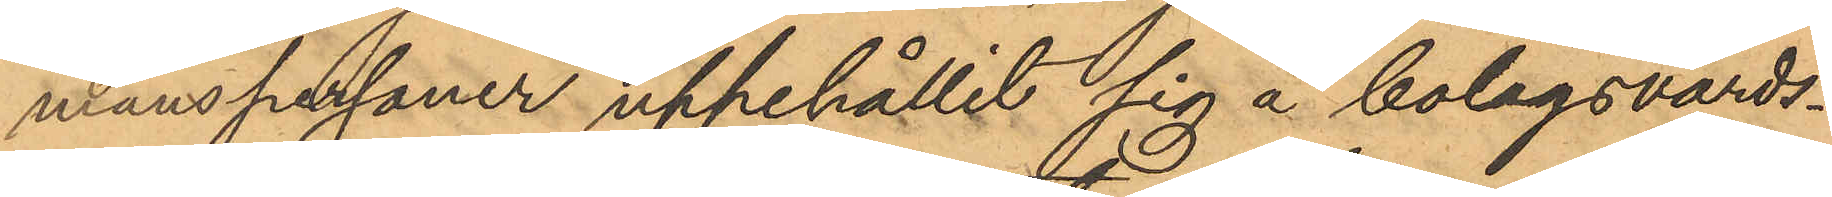manspersoner uppehållit sig å bolagsvärds¬
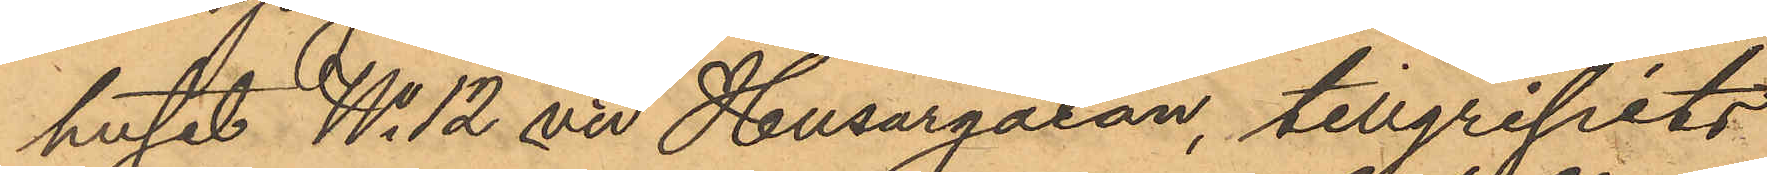huset No 12 vid Husargatan, tillgripits
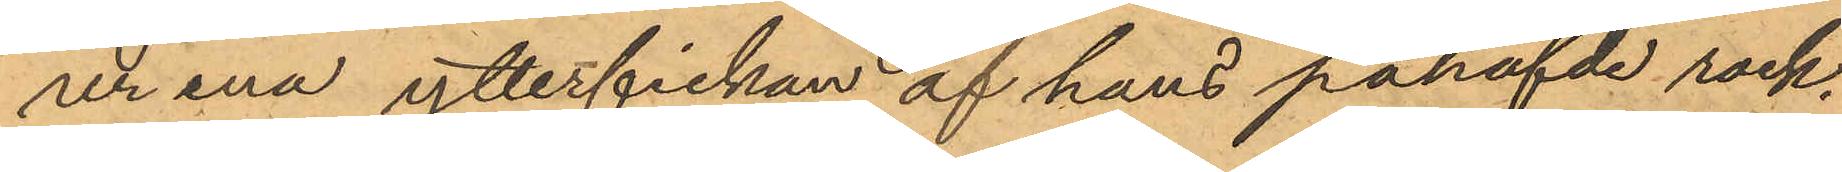ur ena ytterfickan af hans påhafvde rock.
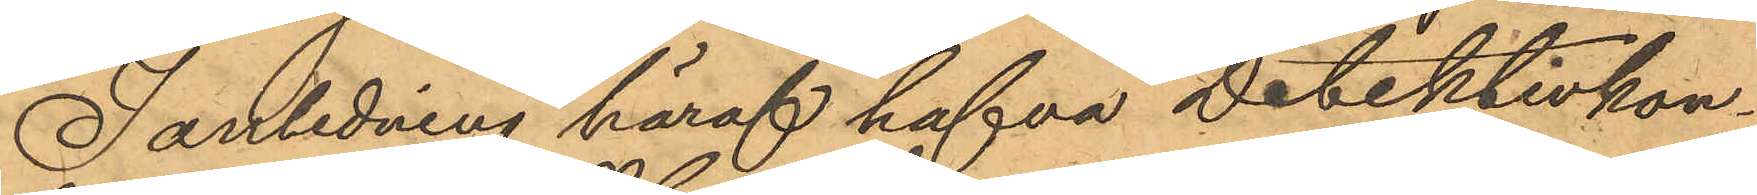I anledning häraf hafva Detektivkon¬
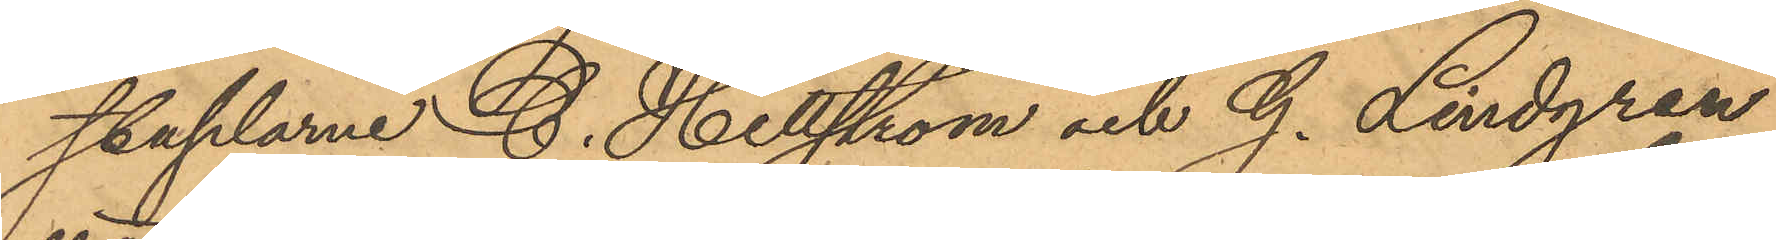staplarne G. Hellström och G. Lindgren
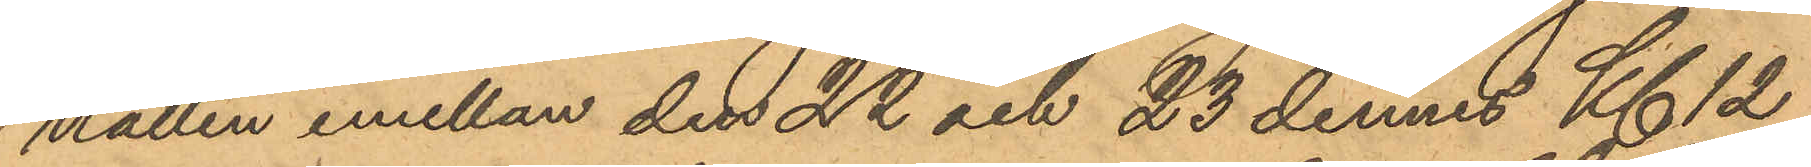natten emellan den 22 och 23 dennes Kl 12
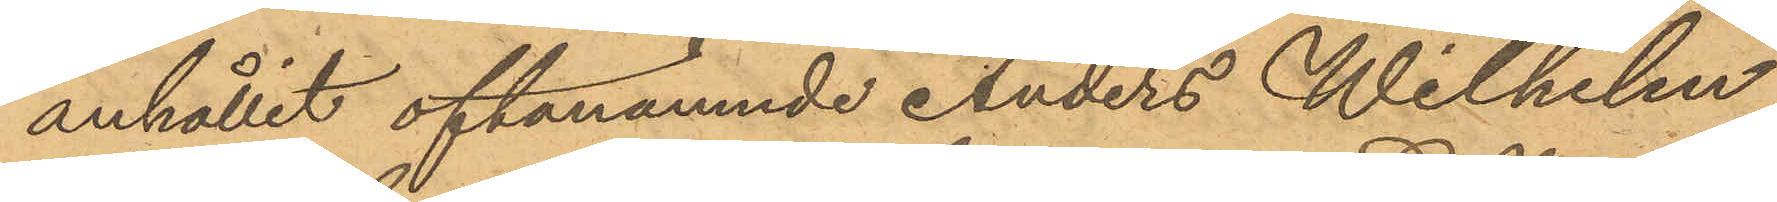anhållit oftanämnde Anders Wilhelm
